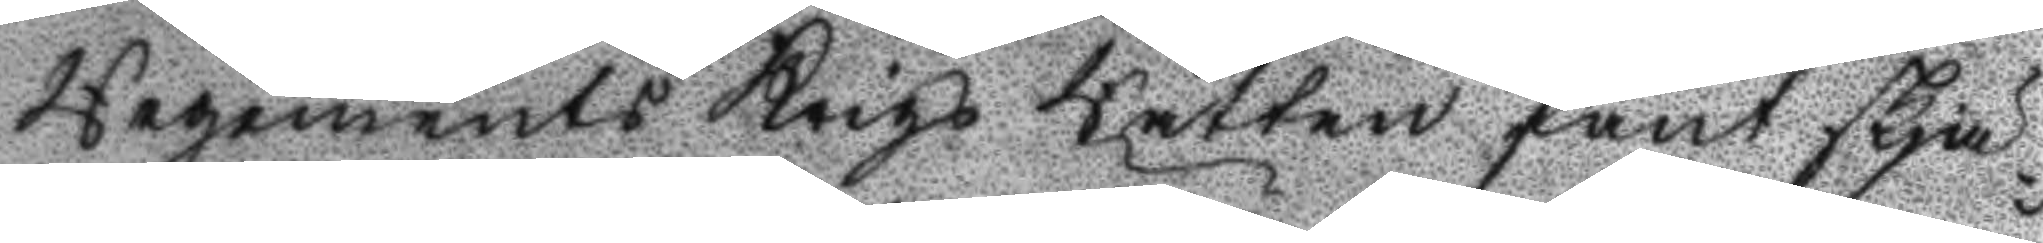Regements Krigs Rätten fant skjä¬
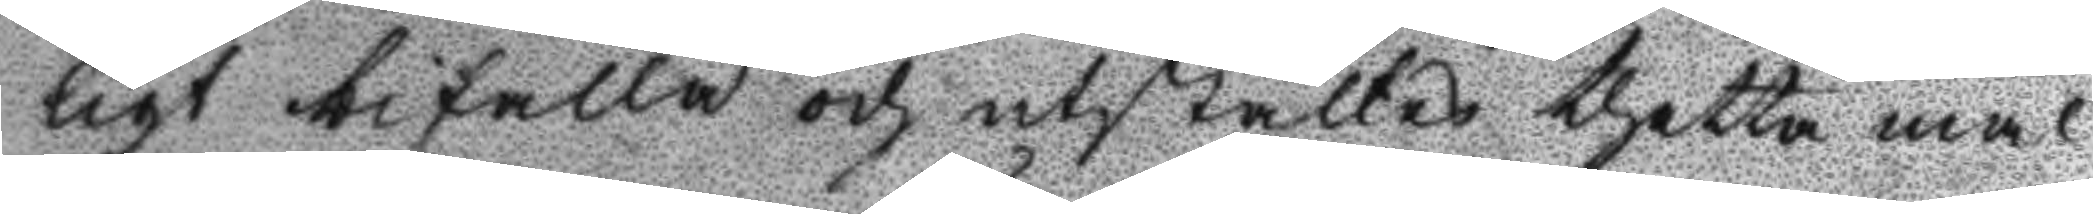ligt bifalla och utstältes thetta mål
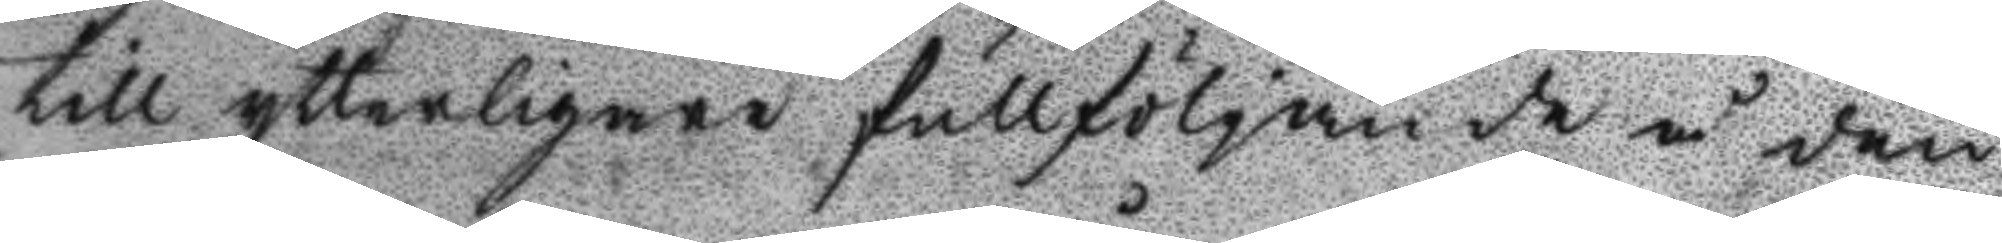till ytterligare fullföljande de å den
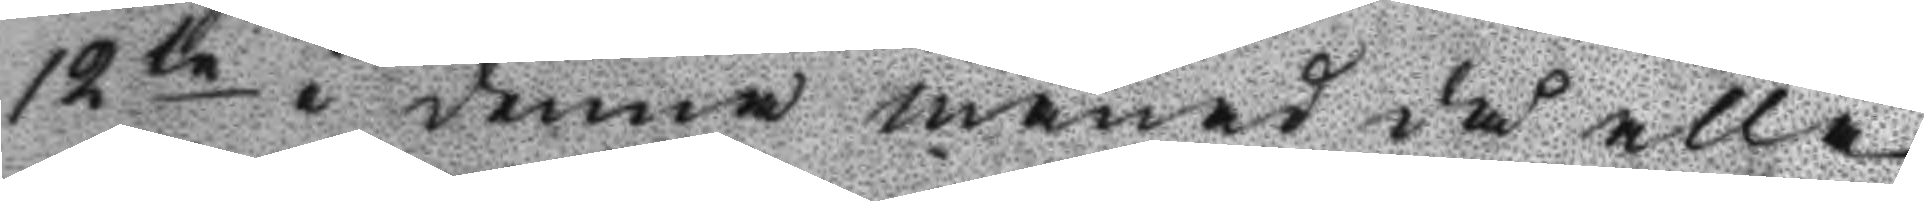12te i denna månad då alla
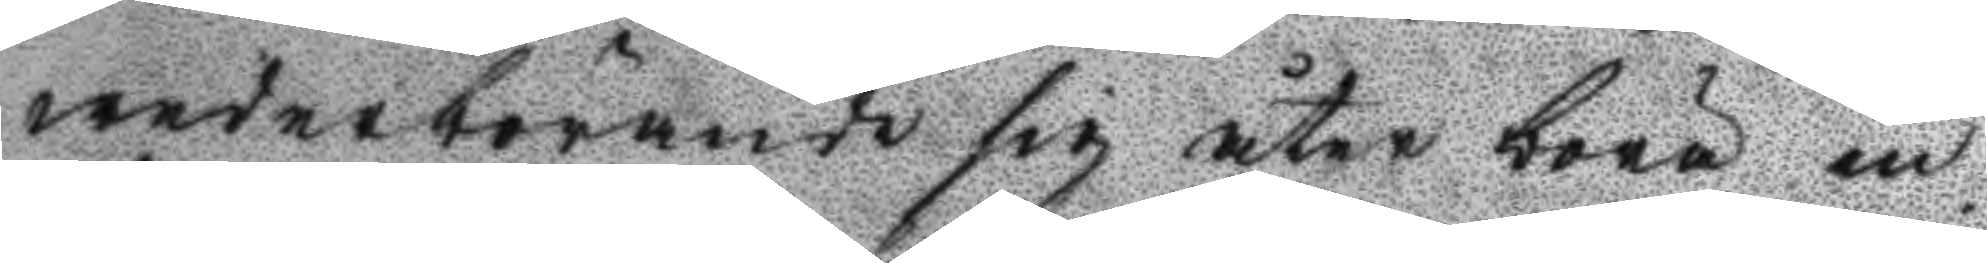wederbörande sif åter böra in¬
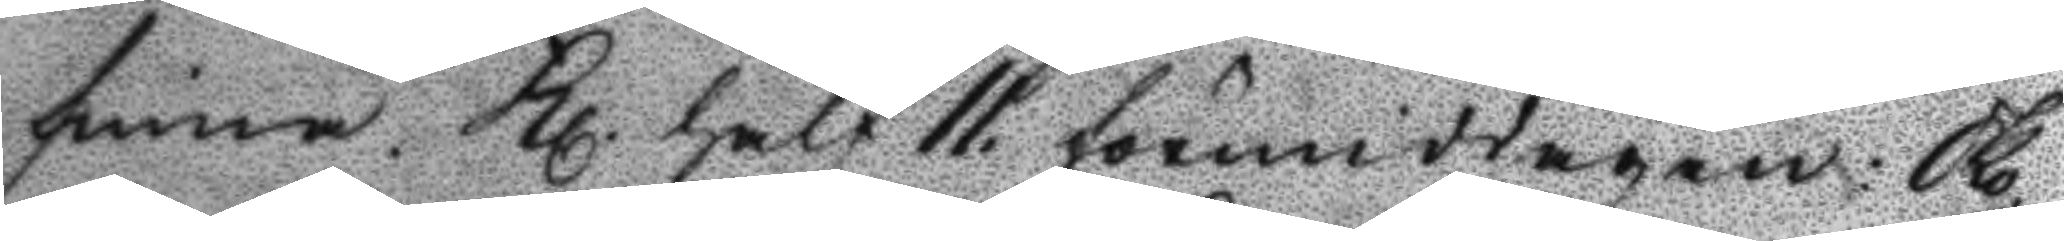finna. Kl. half 11. förmiddagen: Sko¬
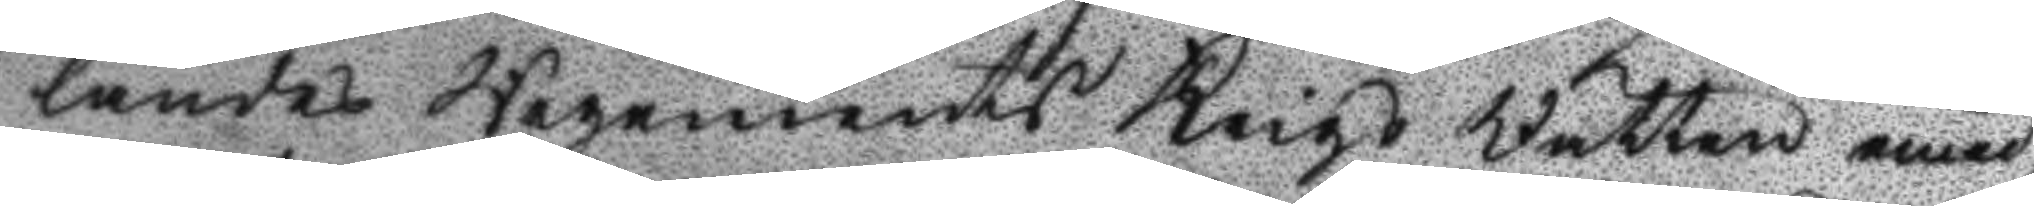landes Regements Krigs Rätten emed¬
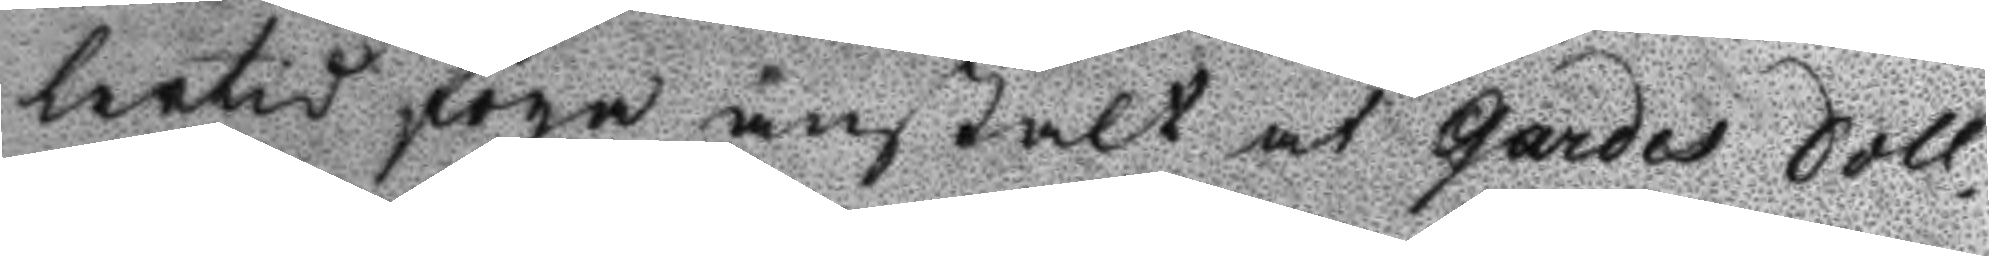lertid foga anstalt at Gardes Soll¬
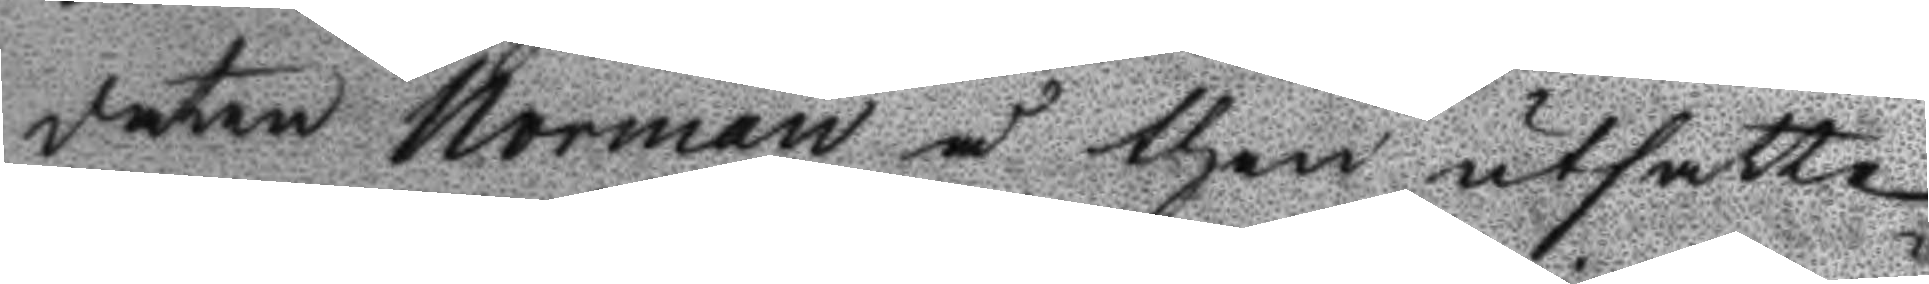daten Norman å then utsatte
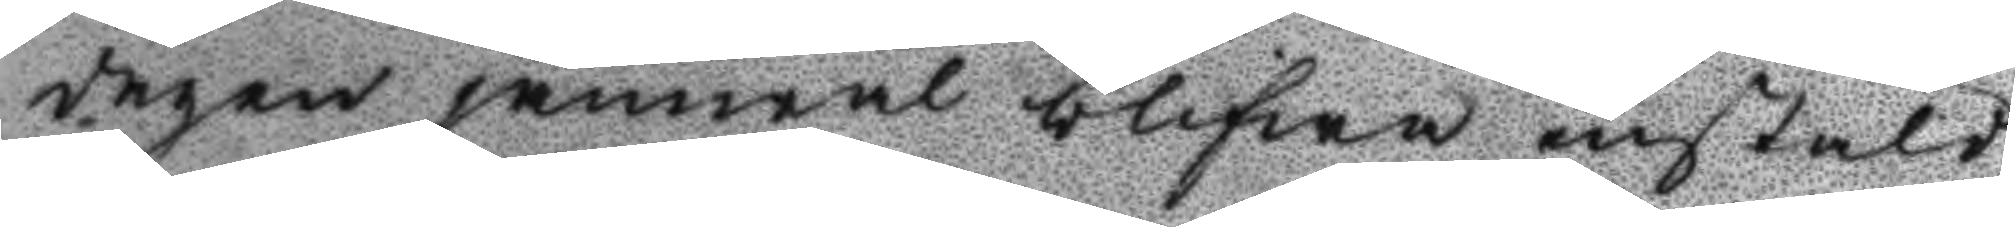dagen jämwäl blifwa instäld;
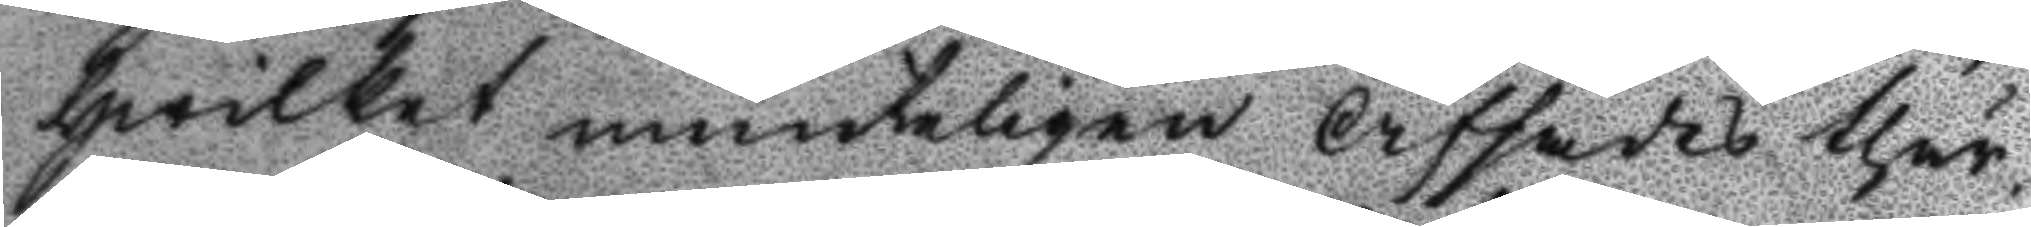hwilket munteligen afsades thär¬
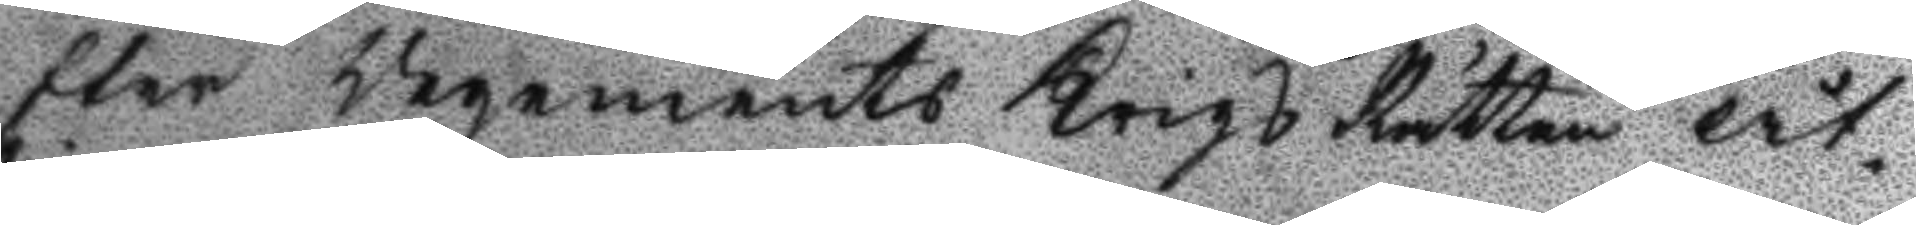efter Regements Krigs Rätten åt¬
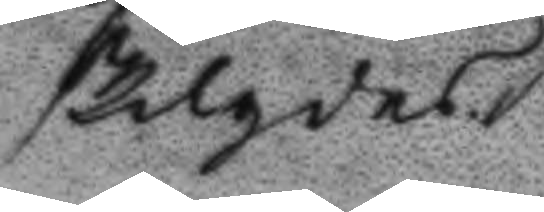skigdes.
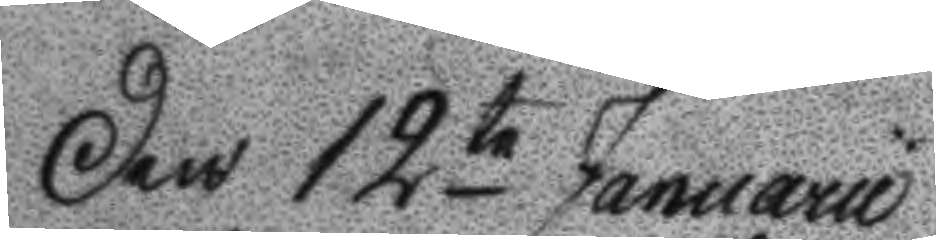Den 12te Januarii
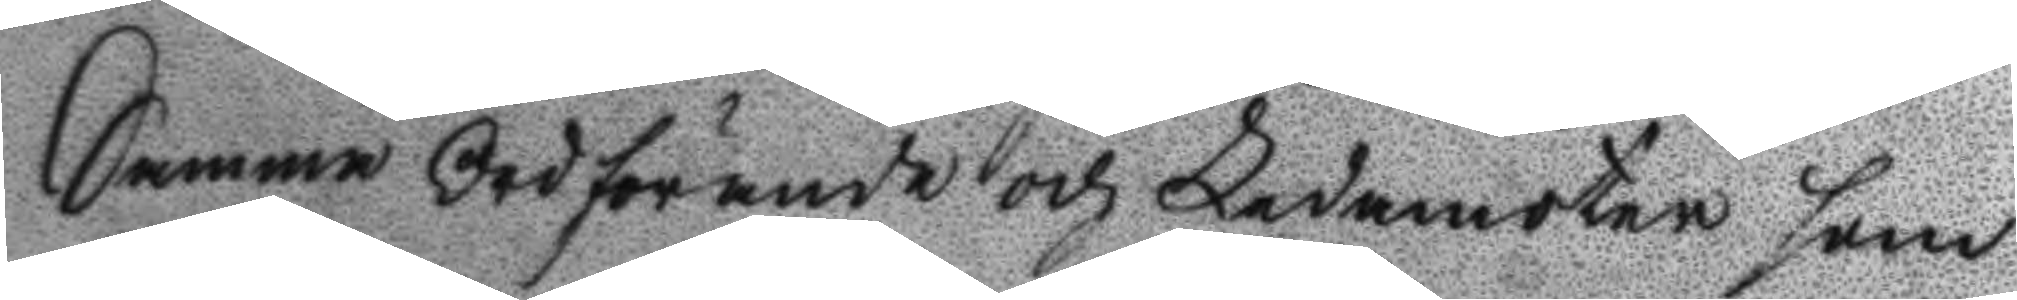Samma ordförande och Ledamöter som
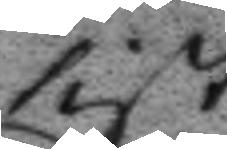sist.
